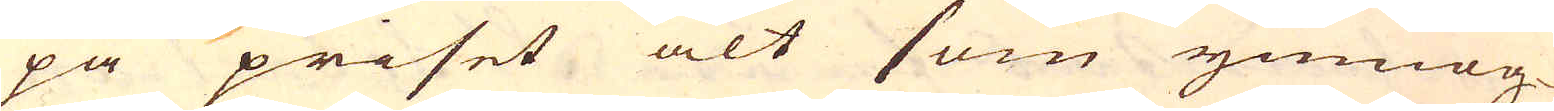på priset alt som ymnog-
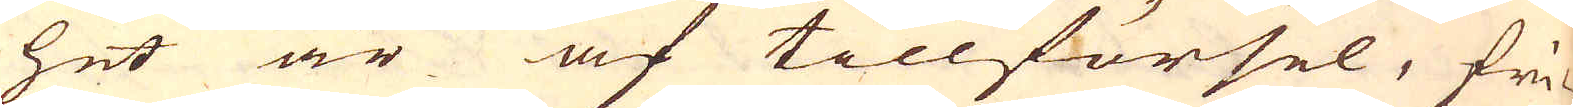het är af tillförsel, fri-
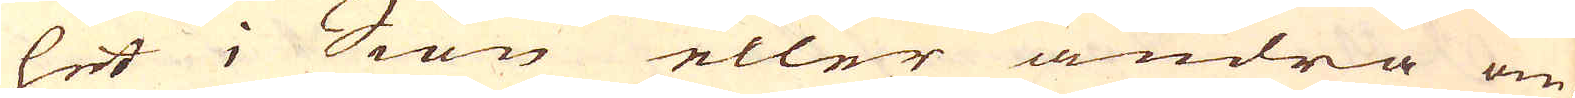het i Siön eller andra om-
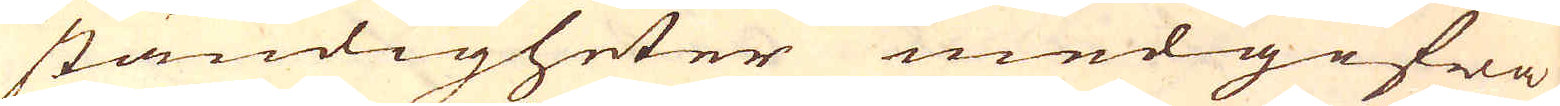ständigheter medgifwa,
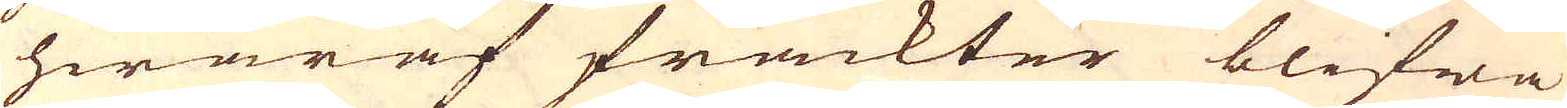hwaraf frackter blifwa
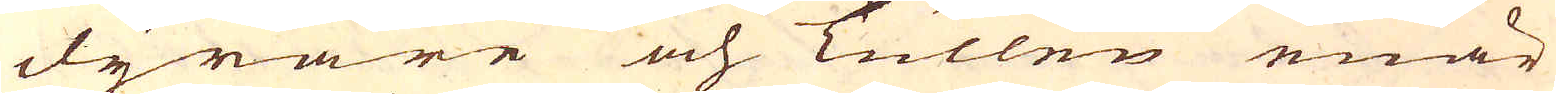dyrare och Tullen enär
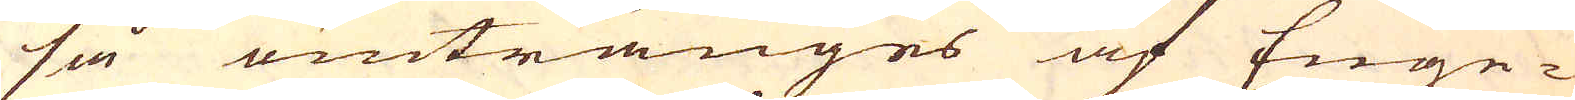så omtränges af Enge-
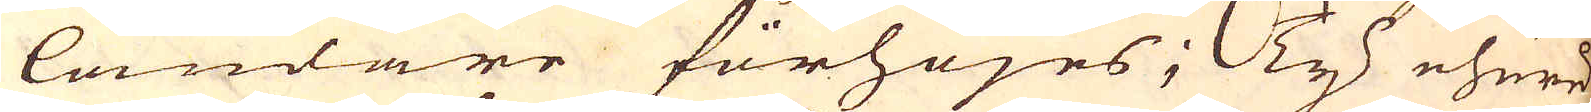ländare förhöjes; Ty ehuru-
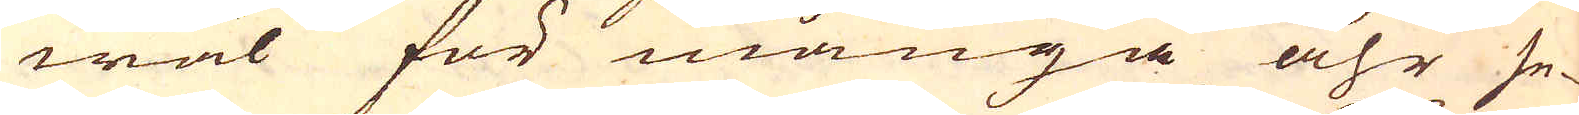wäl för många åhr se-
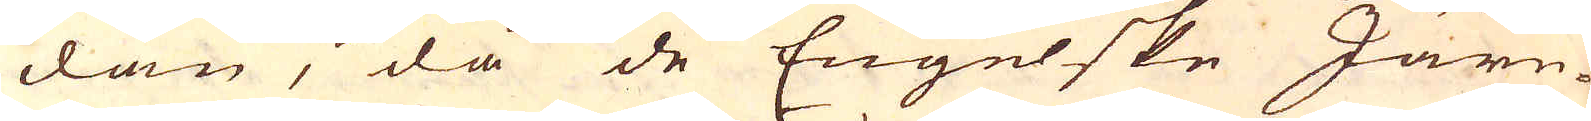dan, då de Engelske Järn-
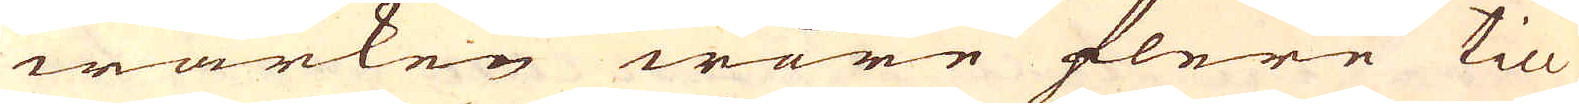wärken wore flere til
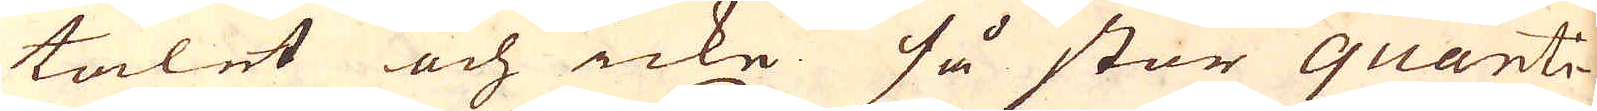talet och icke så stor quanti-
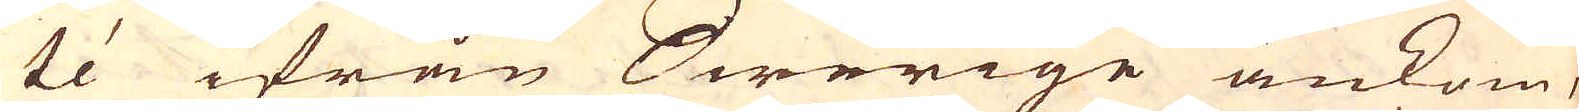té ifrån Swerige ankom,
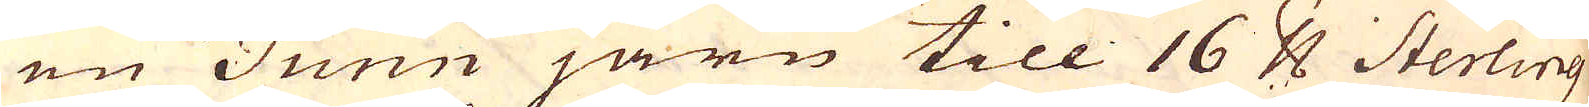en Tunn järn till 16 pund Sterling
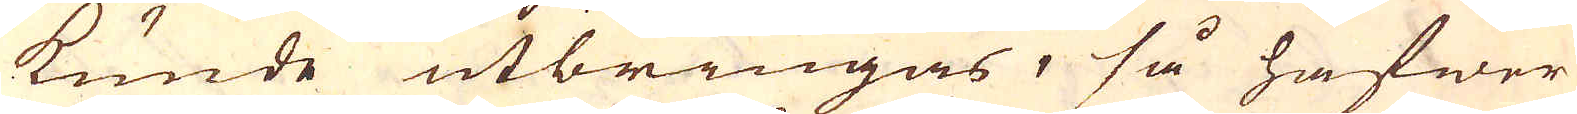kunde utbringas, så hafwer
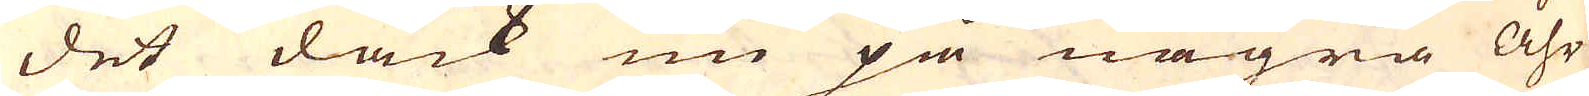det dåck nu på några Åhr
